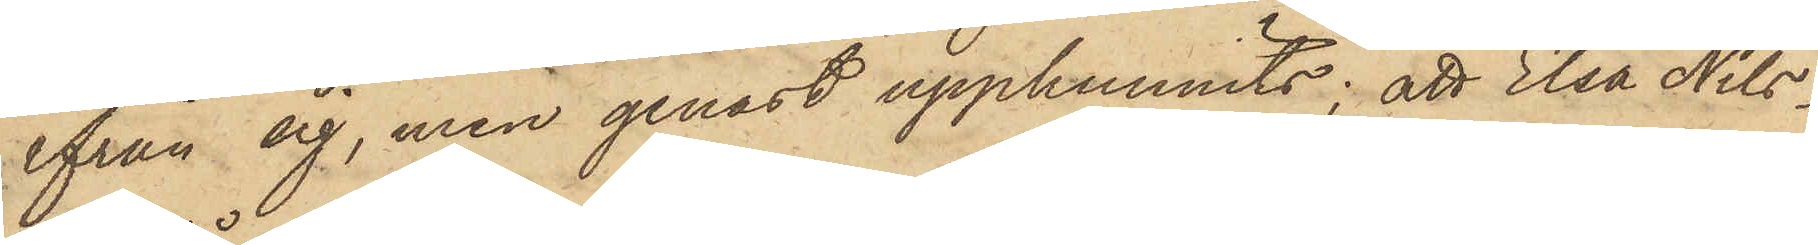ifrån sig, men genast upphunnits; att Elsa Nils¬
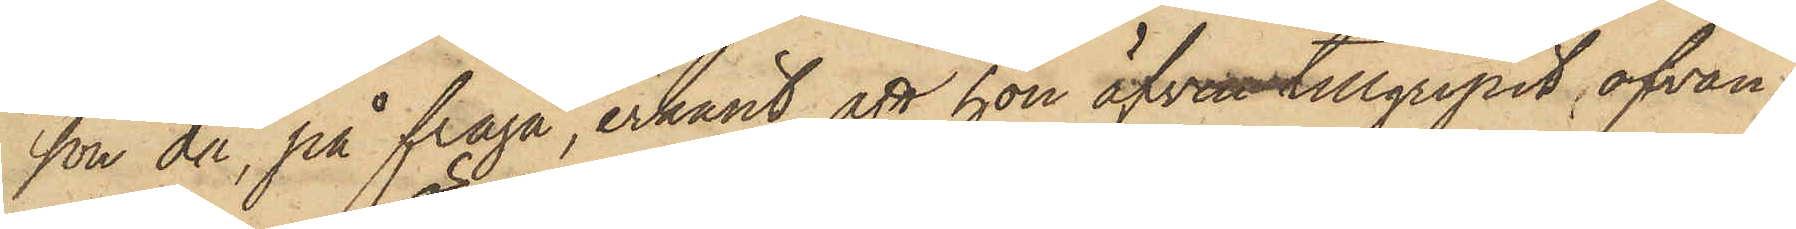son då, på fråga, erkänt, att hon äfven tillgripit ofvan¬
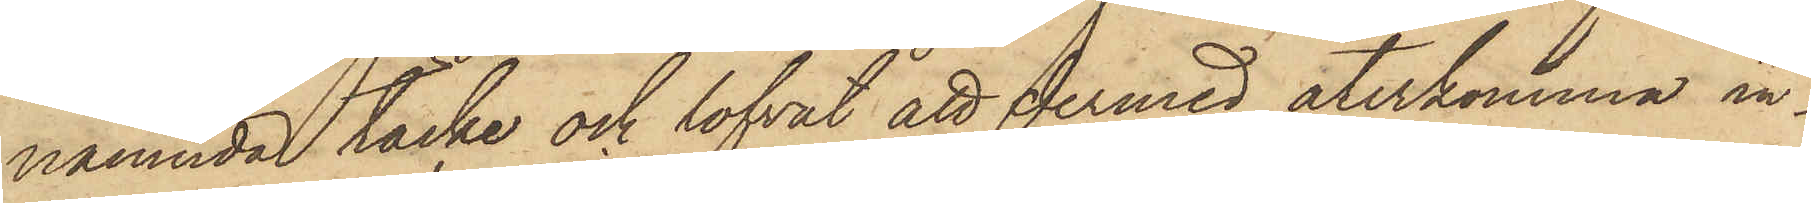nämnda täcke och lofvat att dermed återkomma in¬
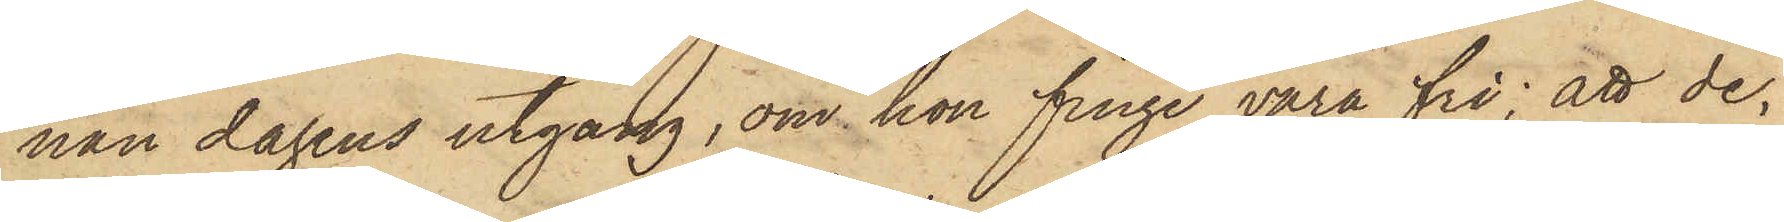nan dagens utgång, om hon finge vara fri; att de
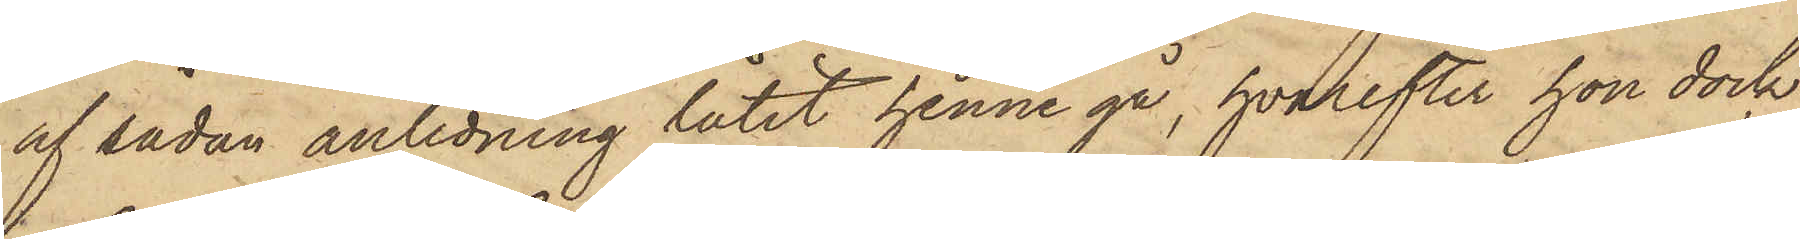af sådan anledning låtit henne gå, hvarefter hon dock
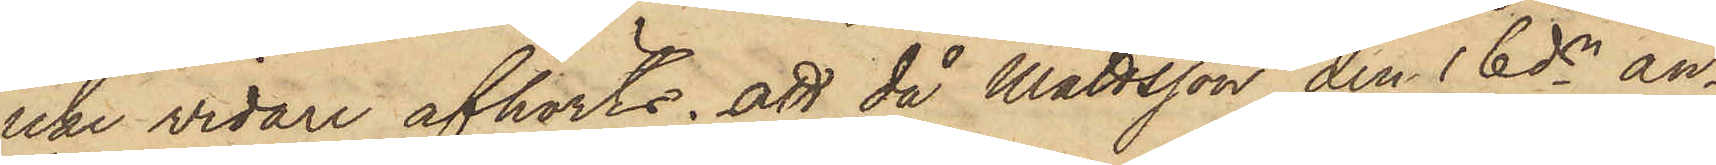icke vidare afhörts; att då Mattsson den 16 ds an¬
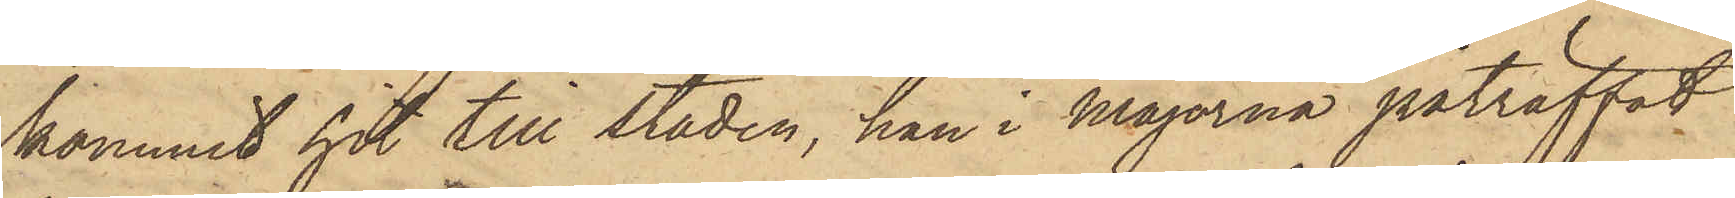kommit hit till staden, han i Majorna påträffat
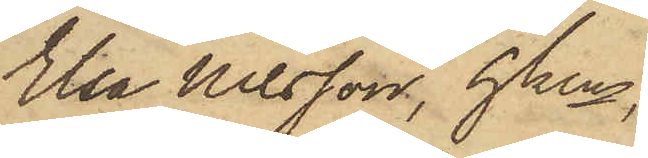Elsa Nilsson, hken,
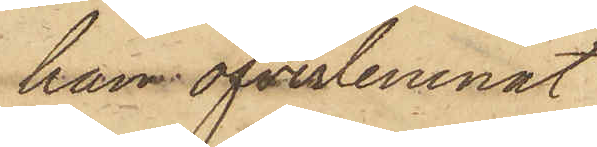han öfverlemnat
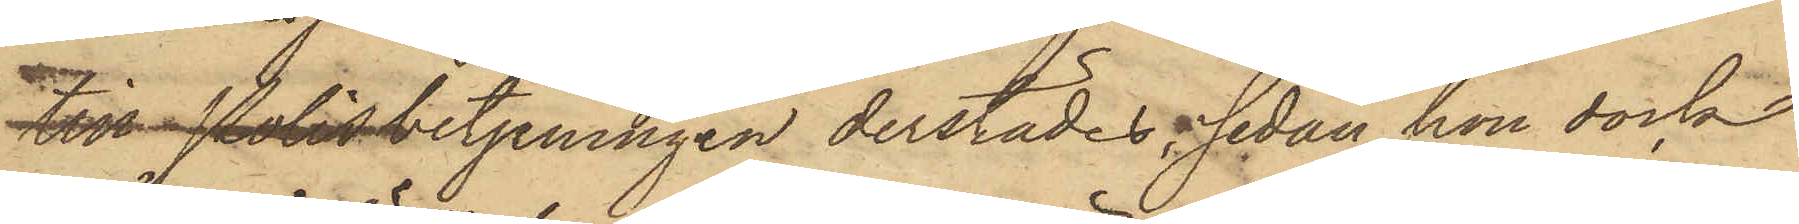till Polisbetjeningen derstädes, sedan hon dock
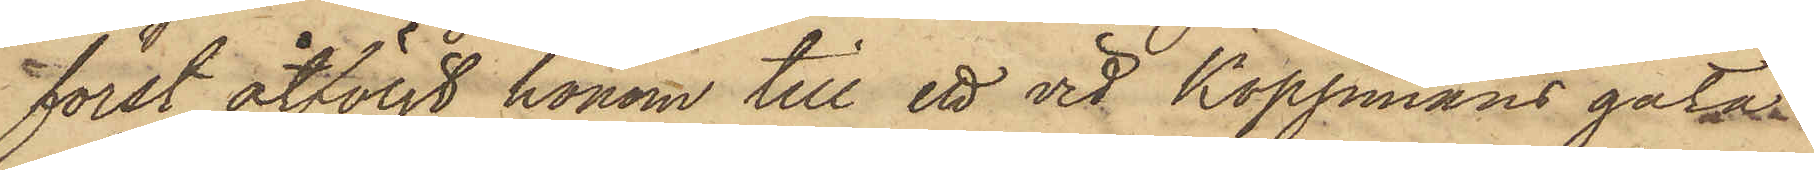först åtföljt honom till ett vid Koppmans gata
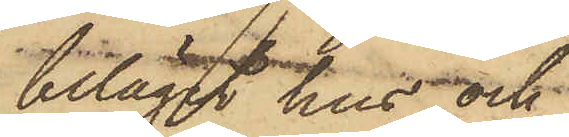beläget hus och
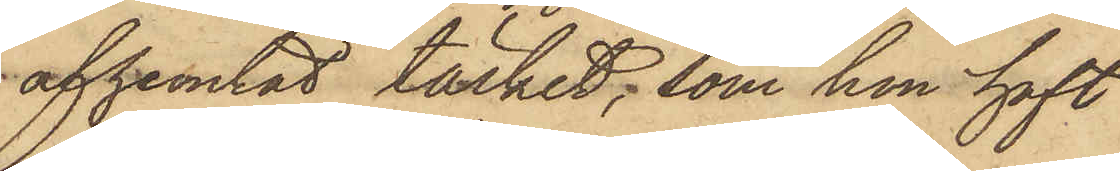afhemtat täcket, som hon haft
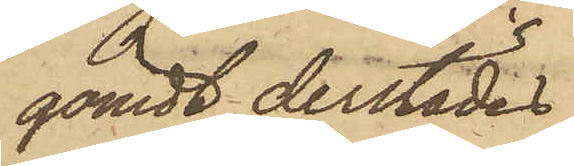gömdt derstädes.
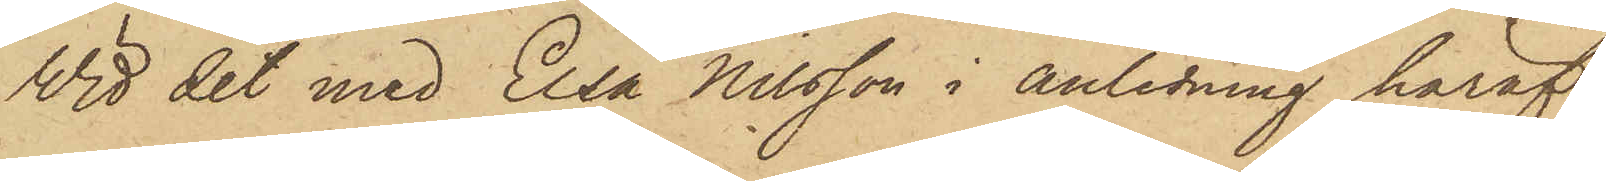Wid det med Elsa Nilsson i anledning häraf
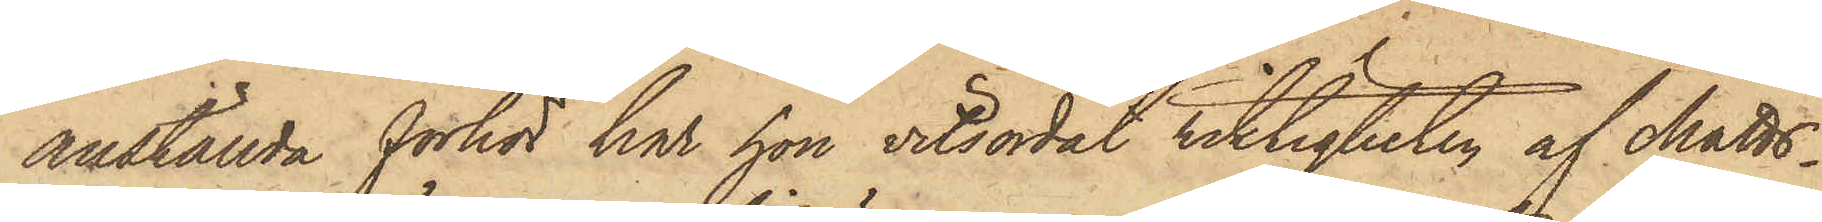anställda förhör har hon vitsordat riktigheten af Matts¬
